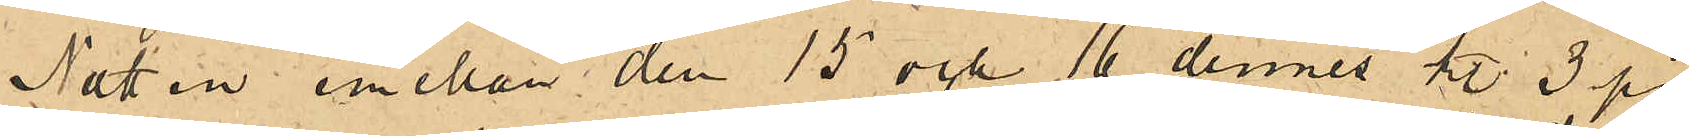Natten emellan den 15 och 16 dennes kl. 3 på
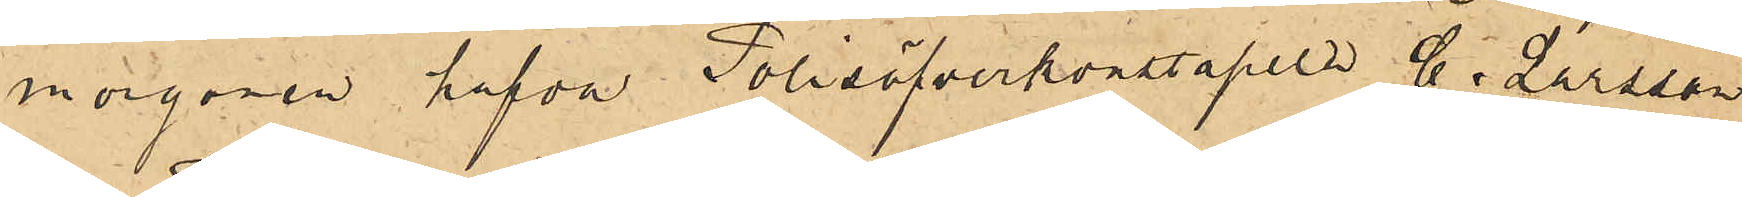morgonen hafva Polisöfverkonstapeln G. Larsson
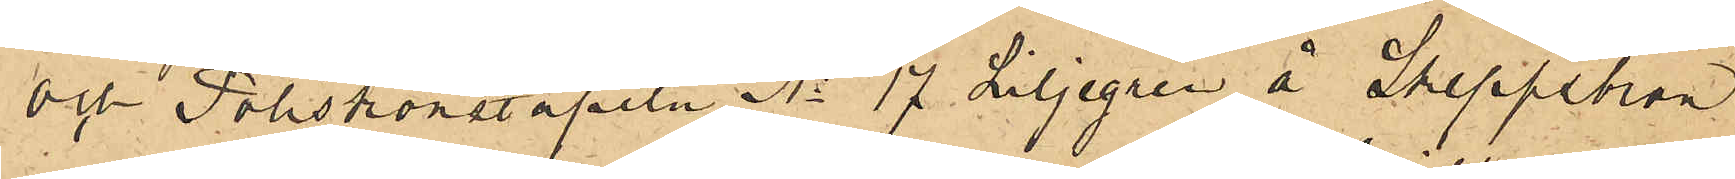och Poliskonstapeln No 17 Liljegren å Skeppsbron
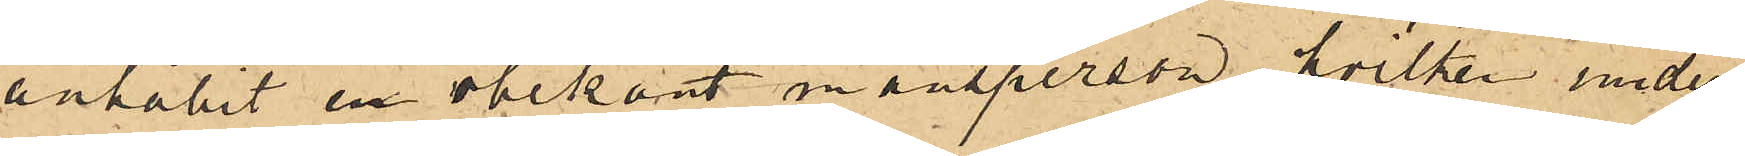anhållit en obekant mansperson, hvilken under
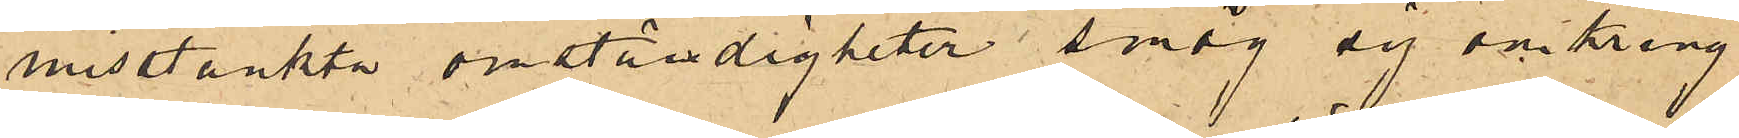misstänkta omständigheter smög sig omkring
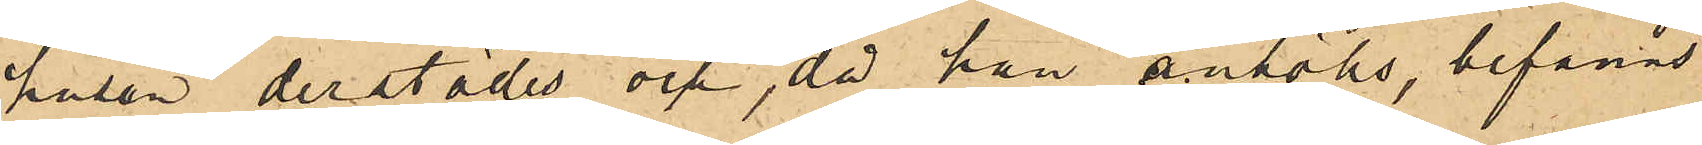husen derstädes och, då han anhölls, befanns
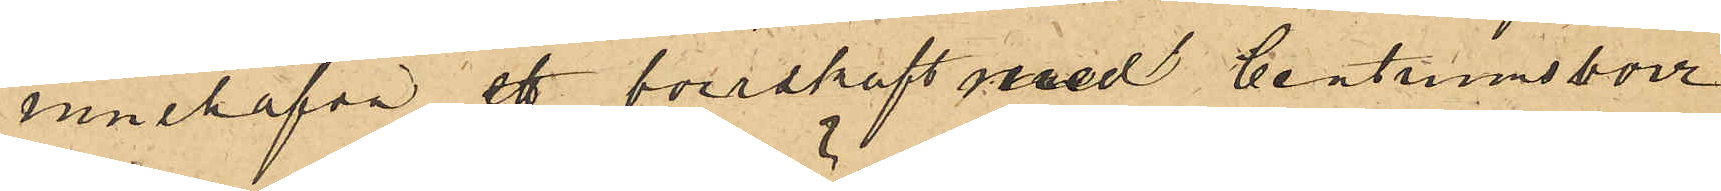innehafva ett borrskaft med centrumborr
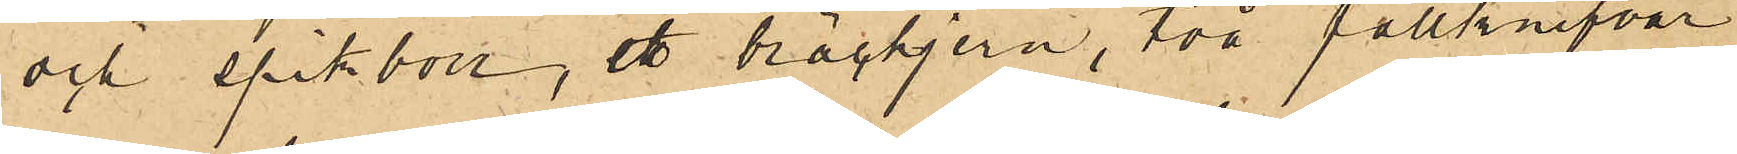och spikborr, ett bräckjern, två fällknifvar
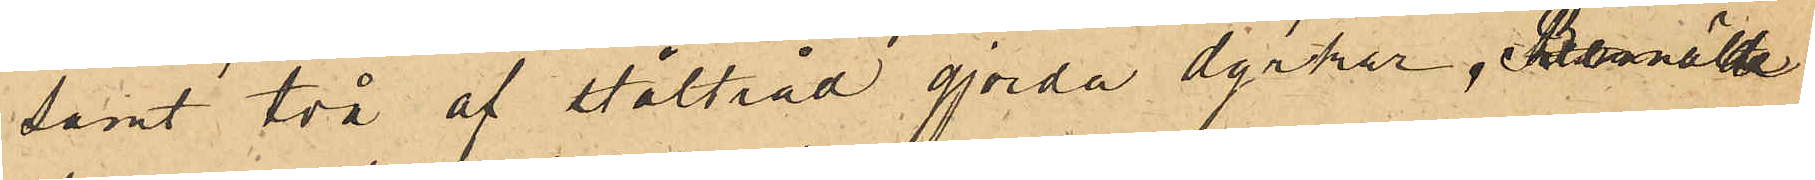samt två af ståltråd gjorda dyrkar. Bemälde
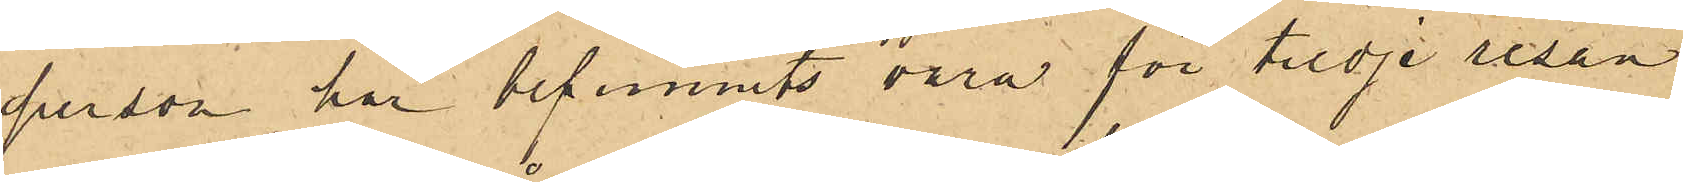person har befunnits vara för tredje resan
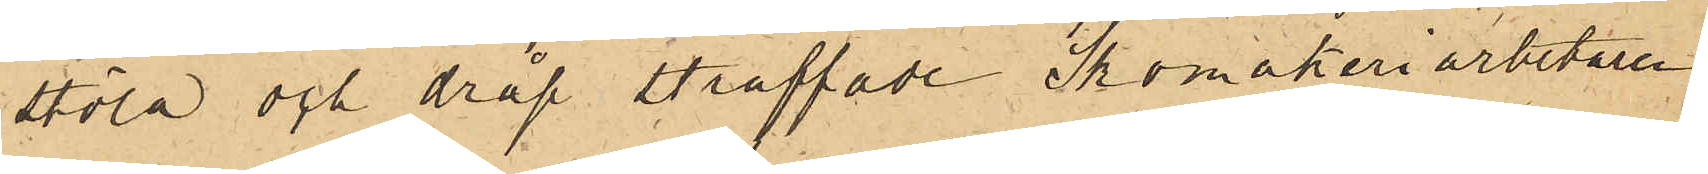stöld och dråp straffade Skomakeriarbetaren
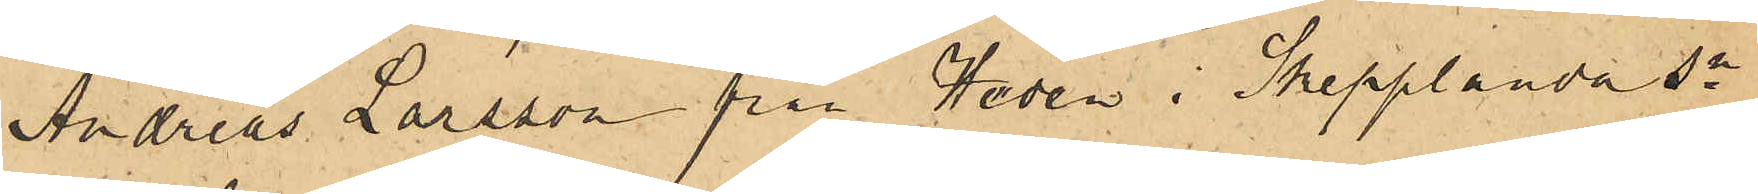Andreas Larsson från Heden i Skepplanda sn
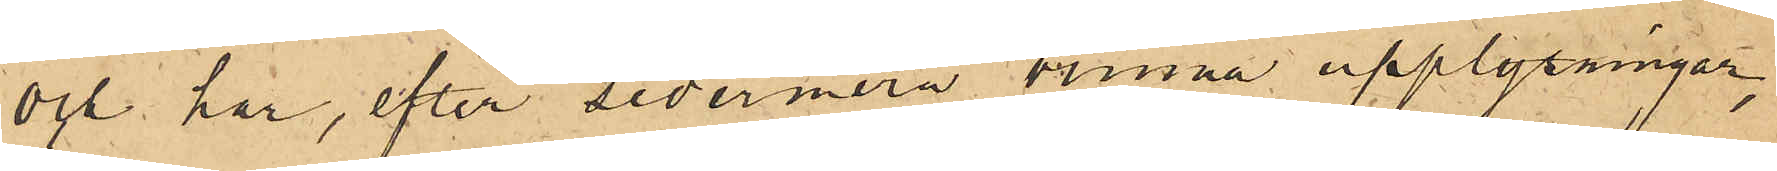och har, efter sedermera vunna upplysningar,
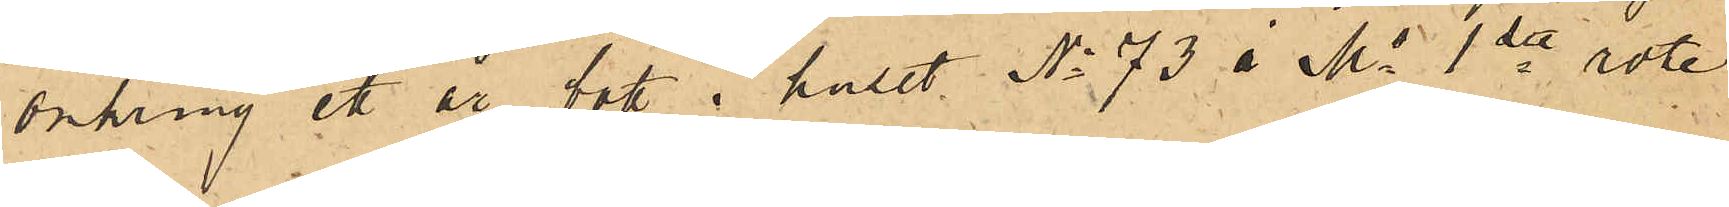omkring ett år bott i huset No 73 i Ms 1ste rote,
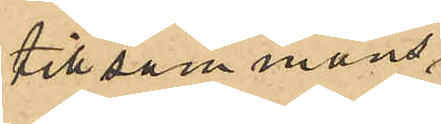tillsammans
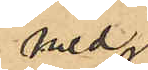med 
